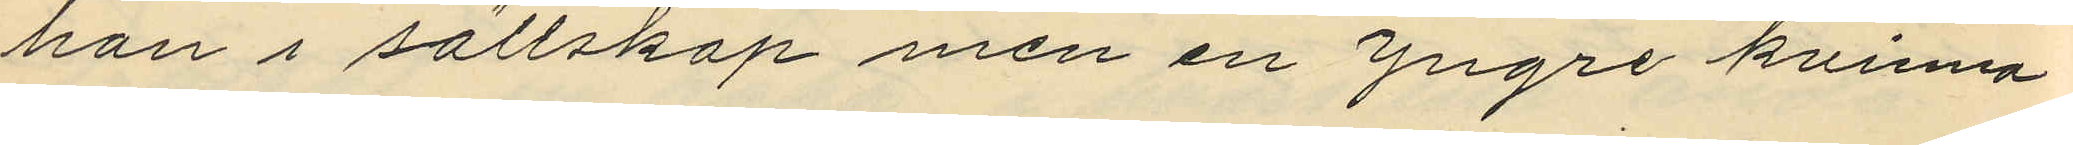han i sällskap men en yngre kvinna
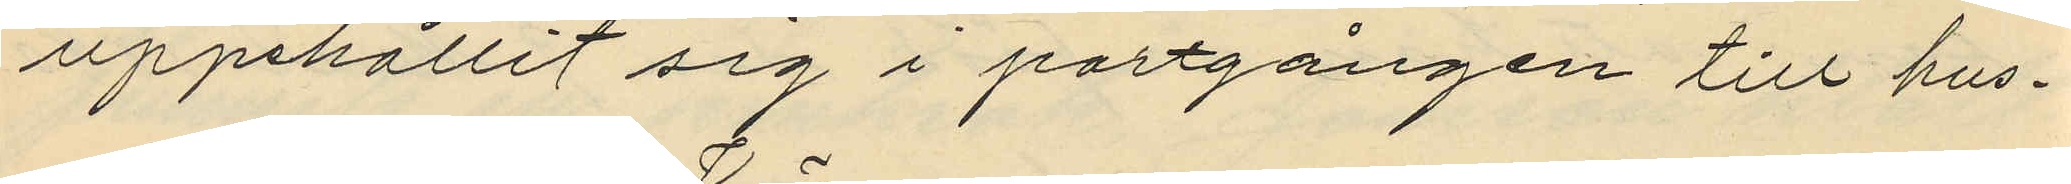uppehållit sig i portgången till hus¬
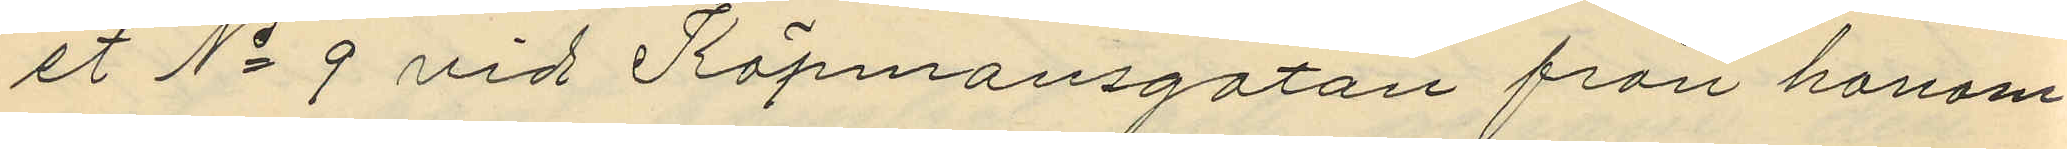et No 9 vid Köpmansgatan från honom
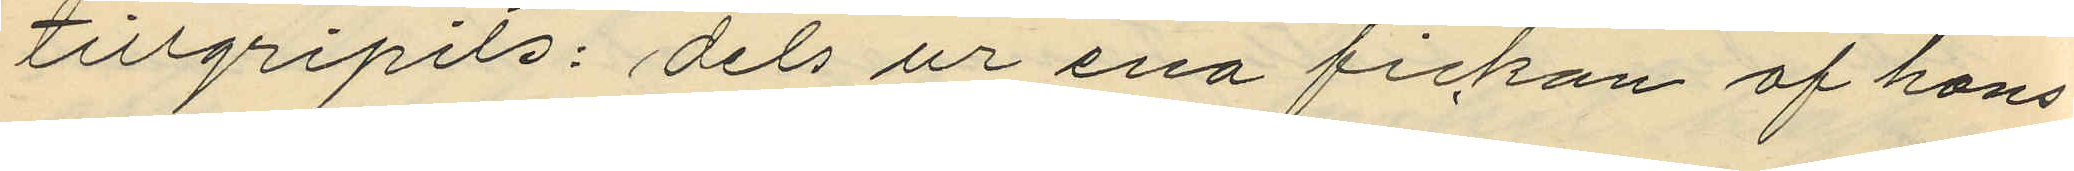tillgripits: dels ur ena fickan af hans
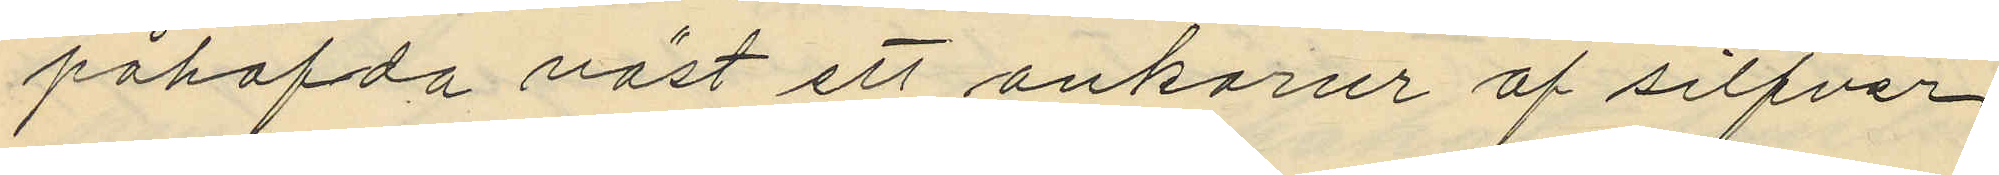påhafda väst ett ankarur af silfver
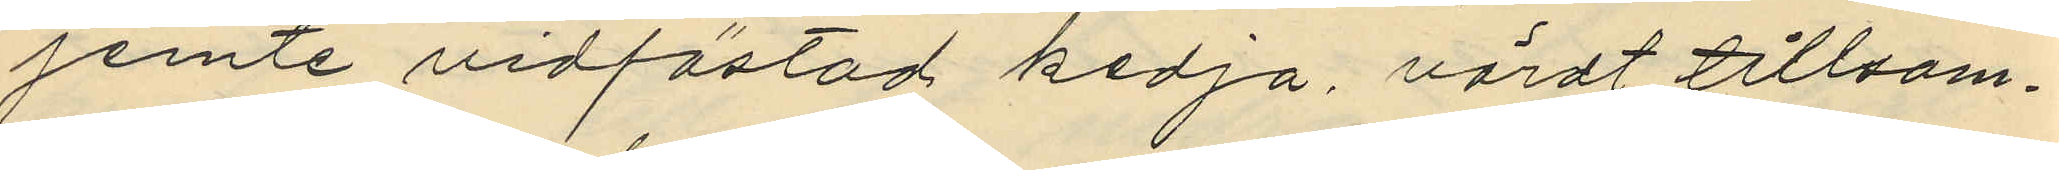jemte vidfästad kedja, värdt tillsam¬
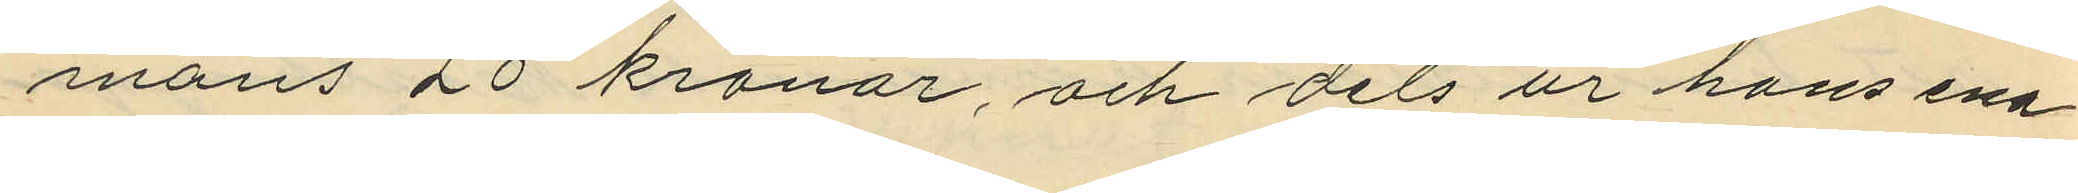mans 20 kronor, och dels ur hans ena
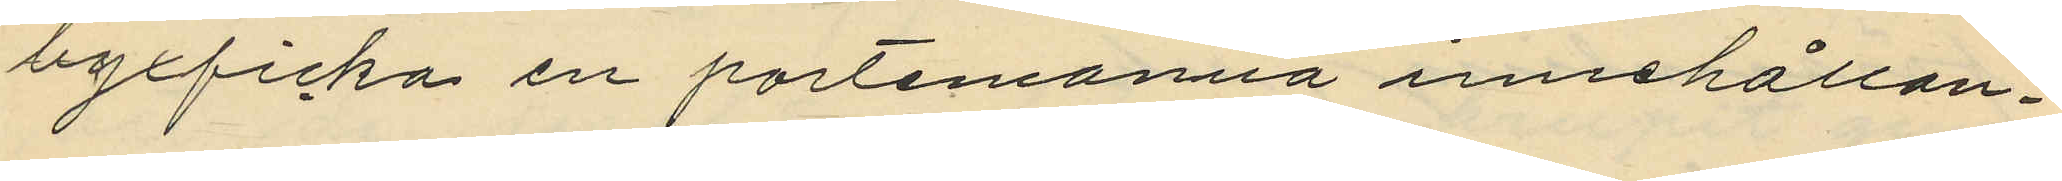byxficka en portemonnä innehållan¬
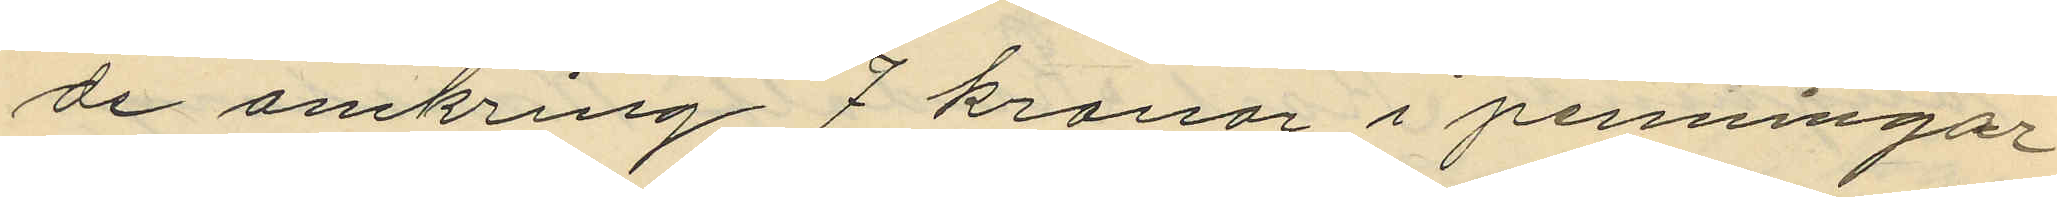de omkring 7 kronor i penningar
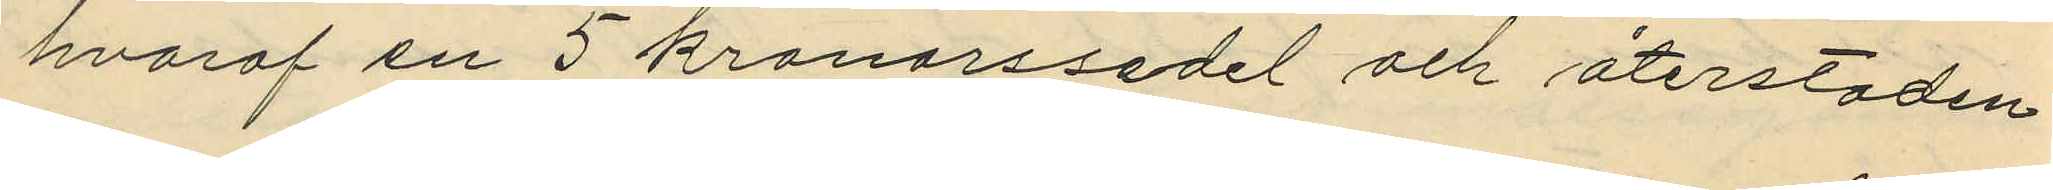hvaraf en 5 kronorssedel och återstoden
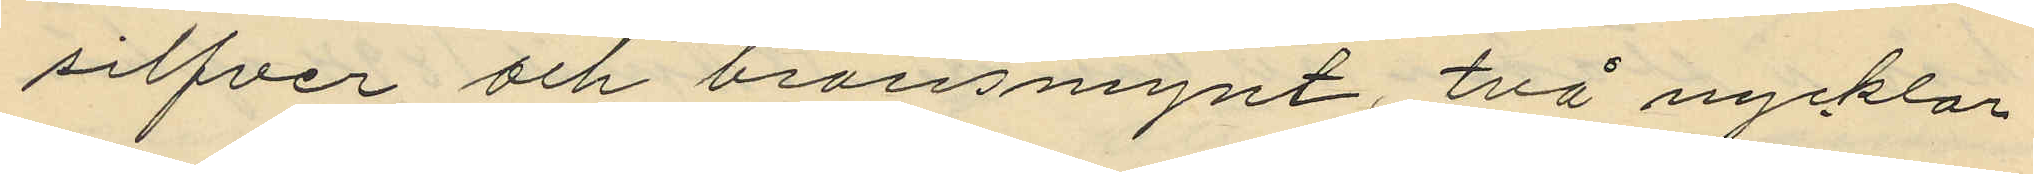silfver och bronsmynt, två nycklar
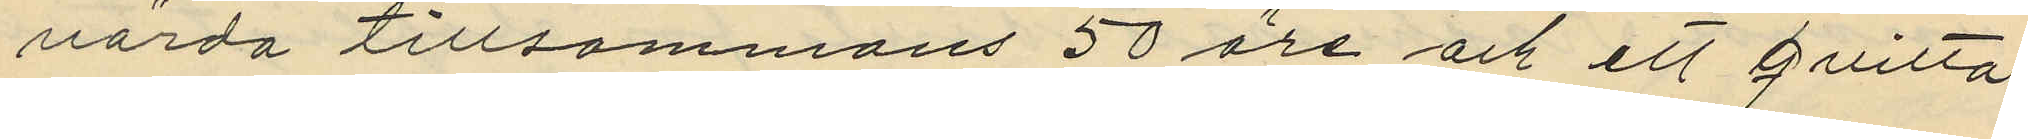värda tillsammans 50 öre och ett qvitto
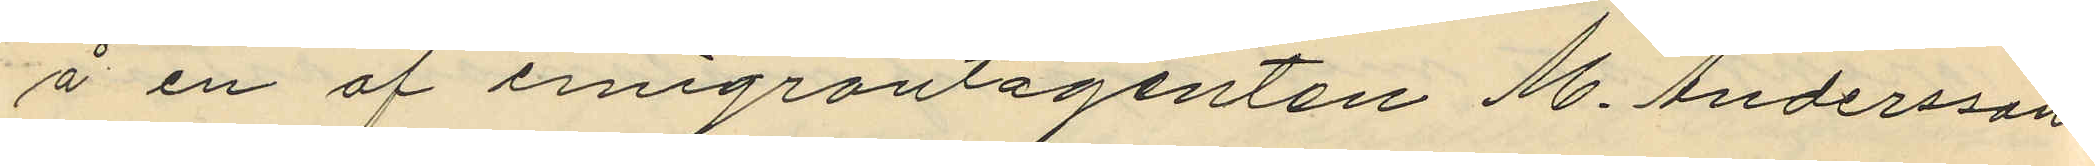å en af emigrantagenten M. Andersson
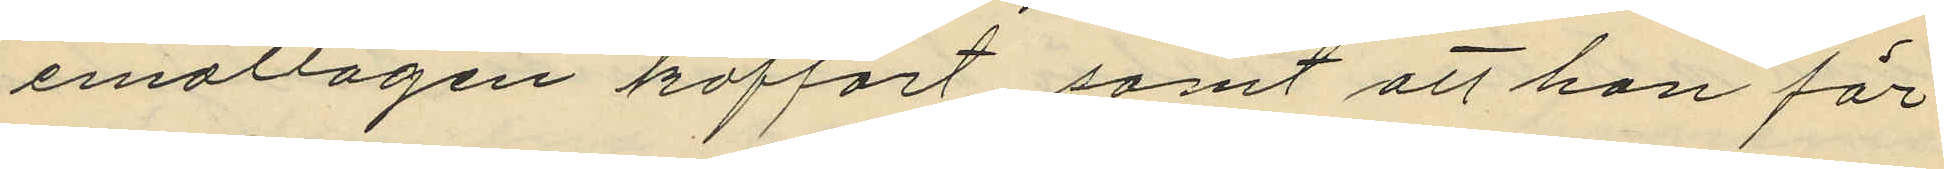emottagen koffert samt att han för
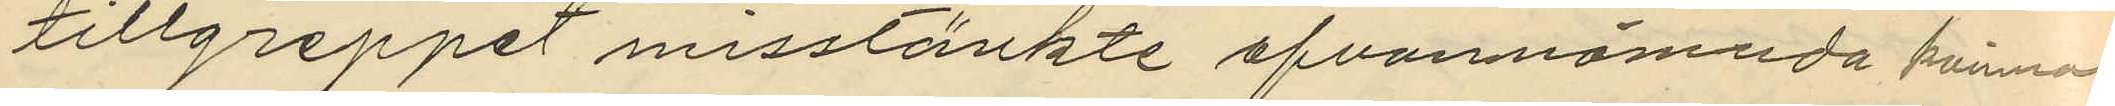tillgreppet misstänkte ofvannämnda kvinna.
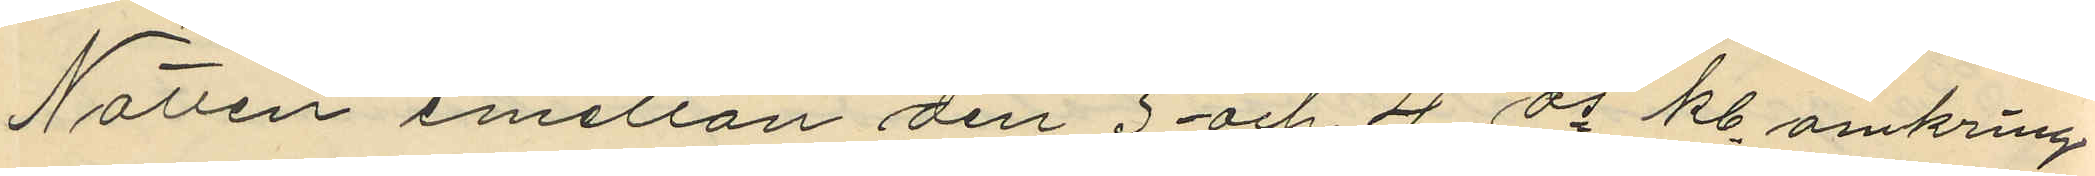Natten emellan den 3 och 4 ds kl. omkring
